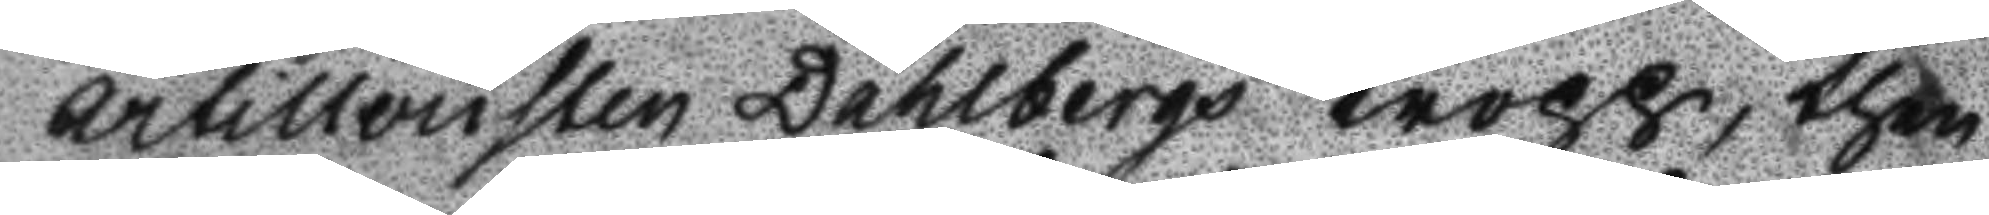artilleristen Dahlbergs Kropp, then
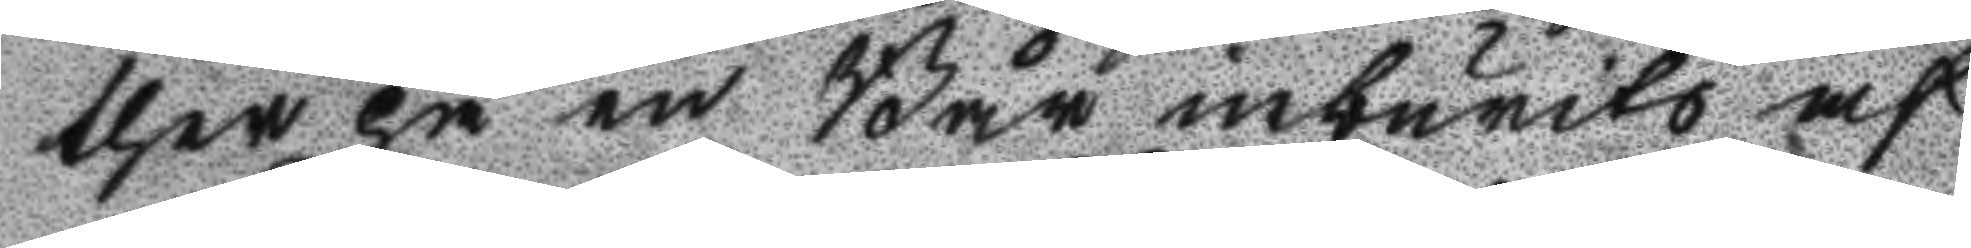ther på en Bår inburits af
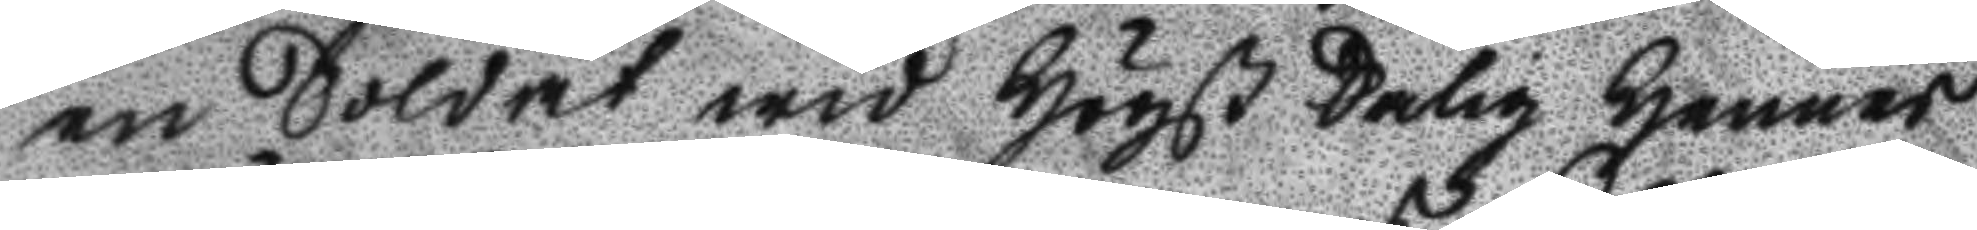en Soldat wid Högst Salig Hennes
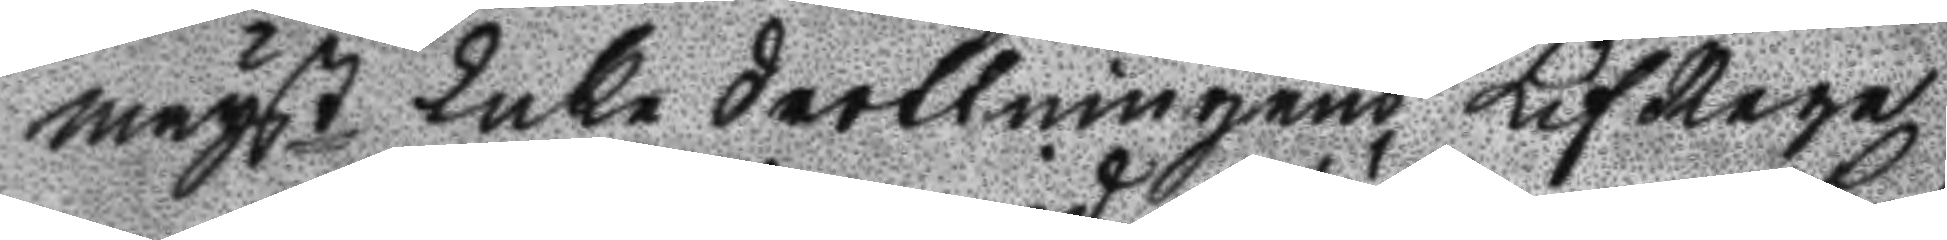mayst Enke drottnings LifRege
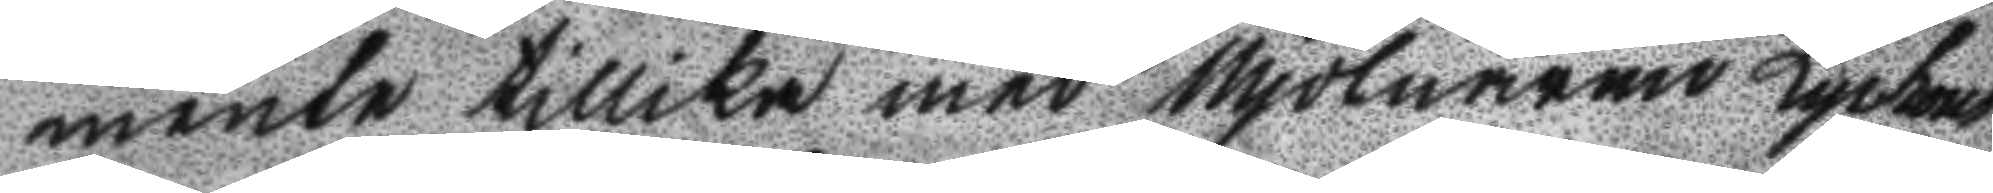mente tillika med Mjölnaren Lyckous
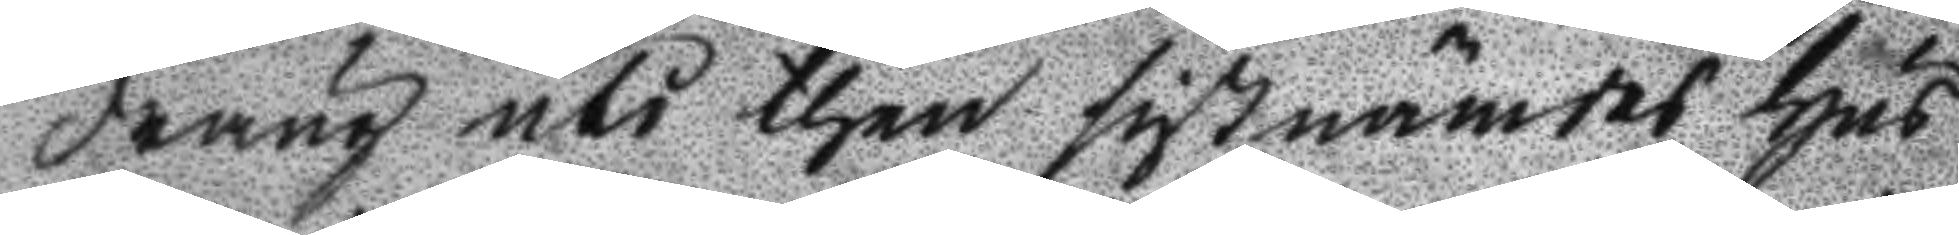dräng uti then sistnämdes Hus
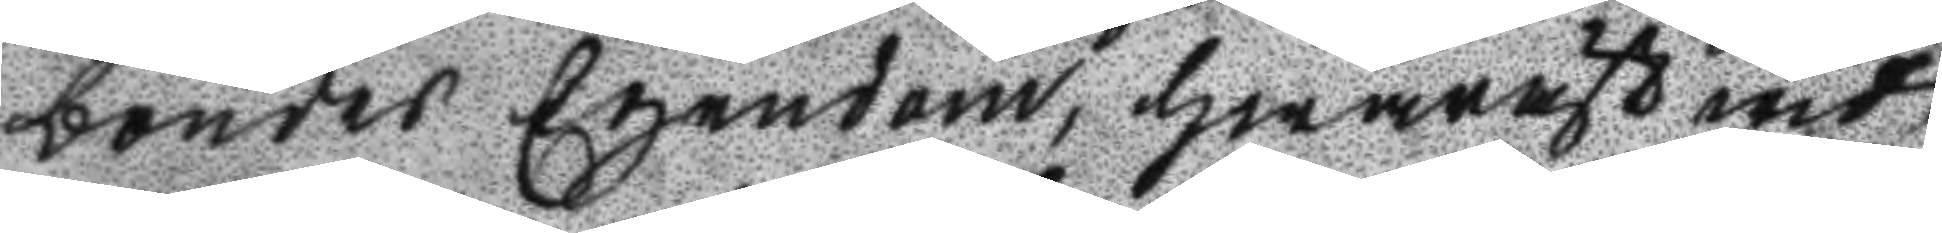boendes Egendom, hwaräst wid
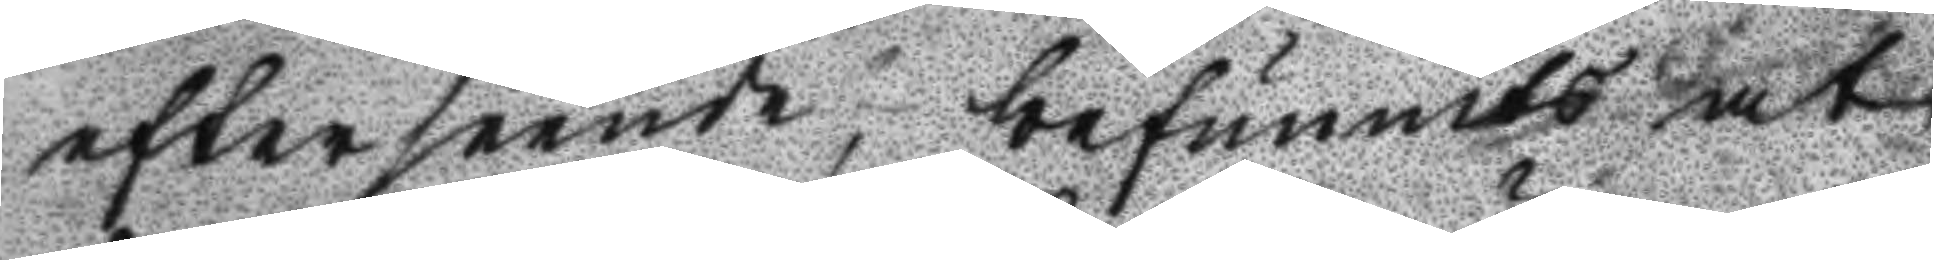efterseende, befunnits at
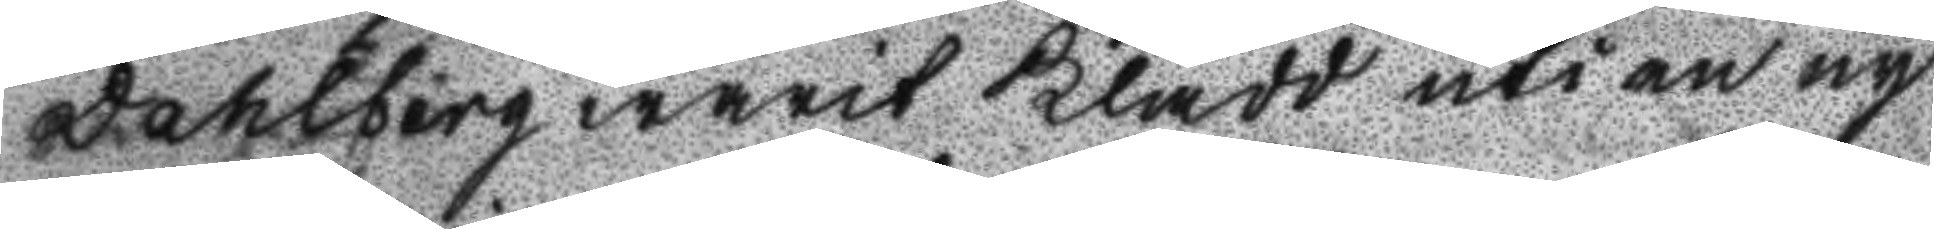Dahlberg warit klädd uti en ny
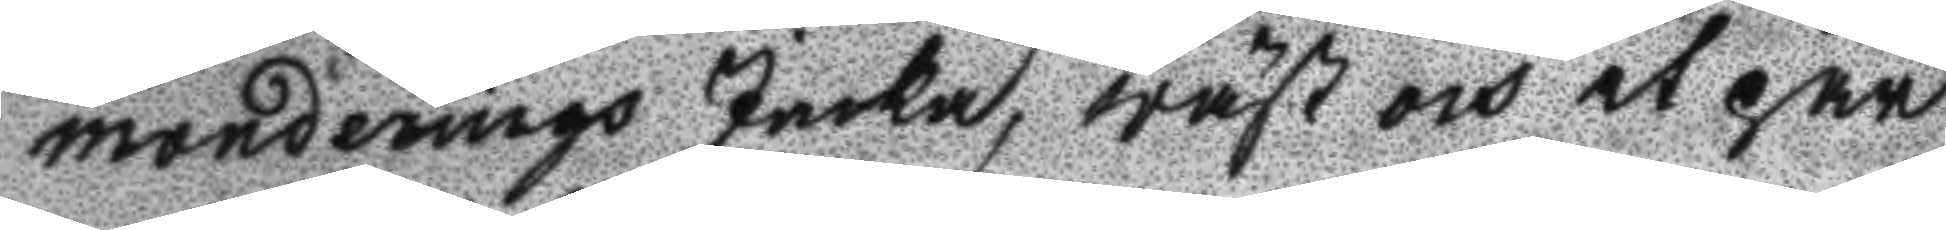monderings Jacka, wäst och et par
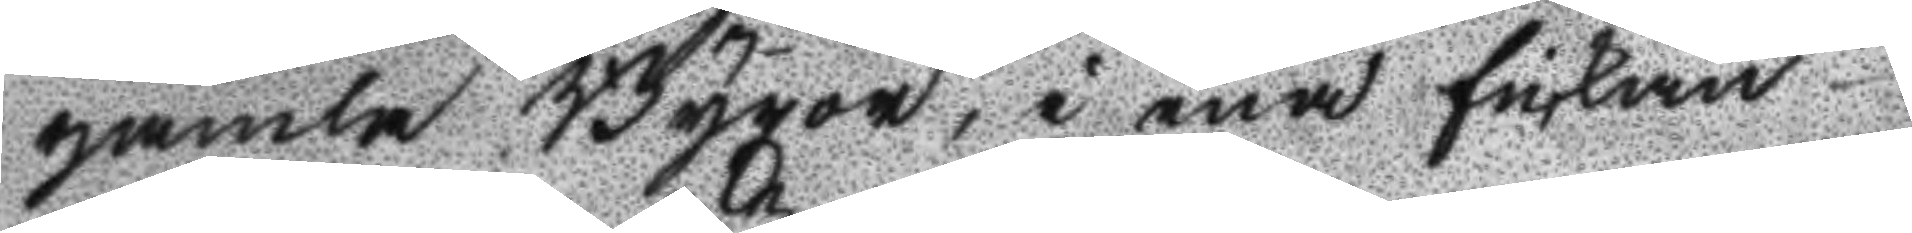gamla Byxor, i ena fickan
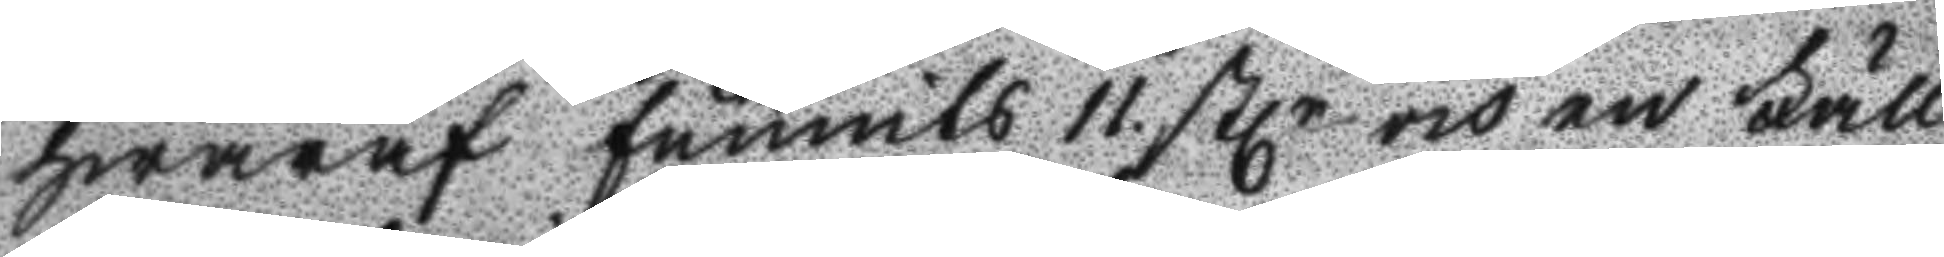hwaraf funnits 11. Stlr och en Fäll
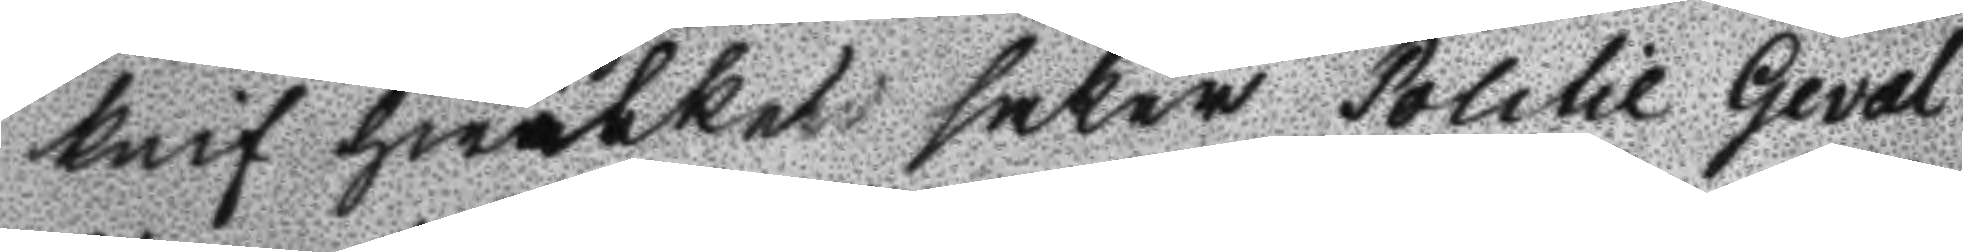knif hwilket saker Politie Geval
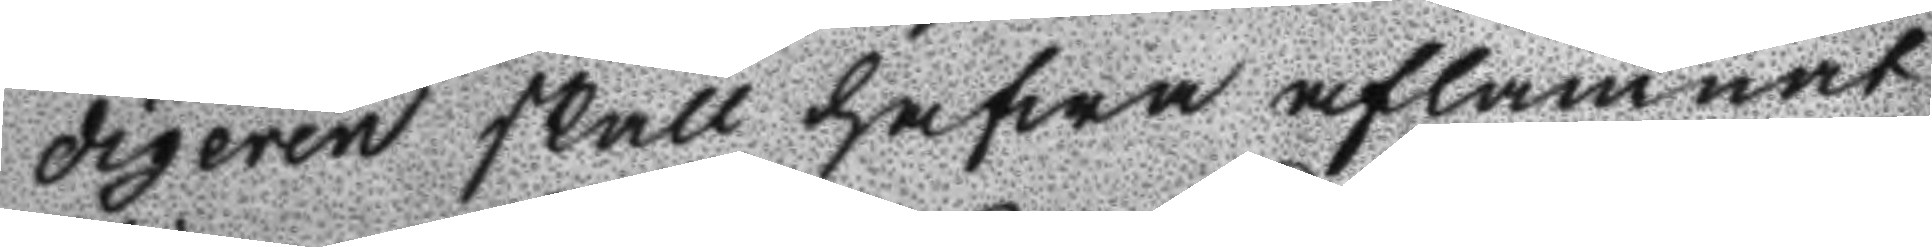digeren skall hafwa aflämnat
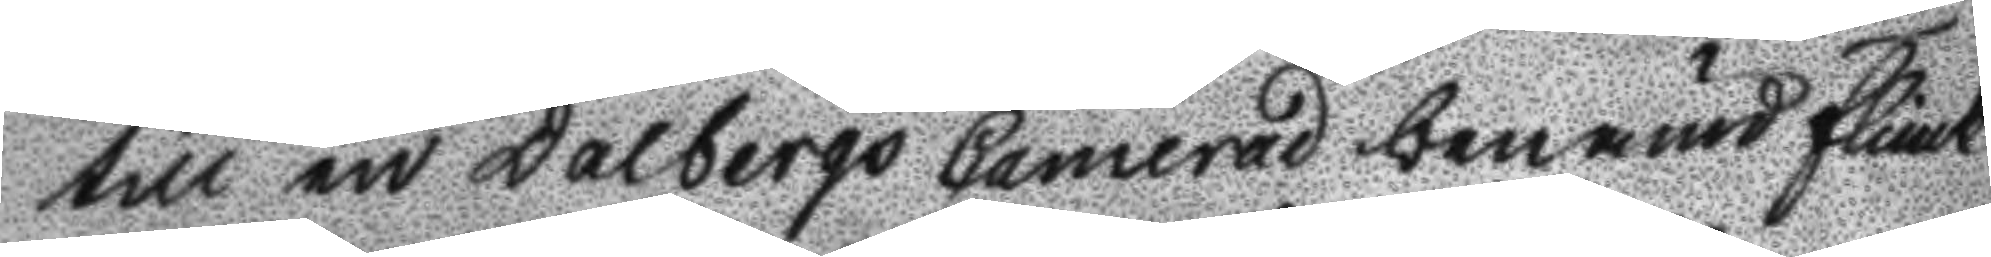till en Dalbergs Camerad benämd Flinck
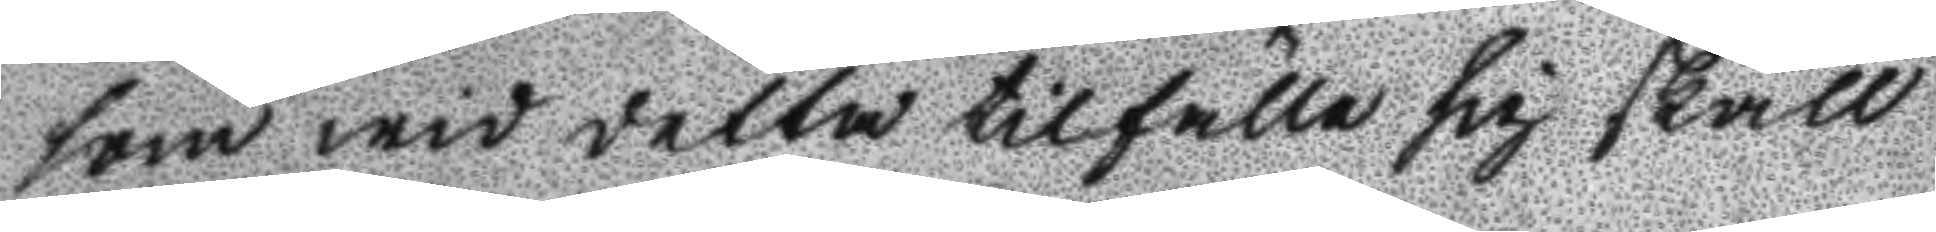som wid detta tillfälle sig skall
